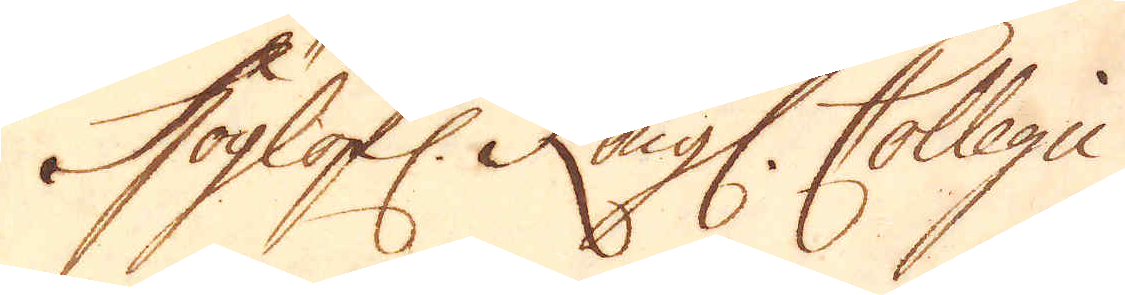Höglofl: Kongl: Collegii
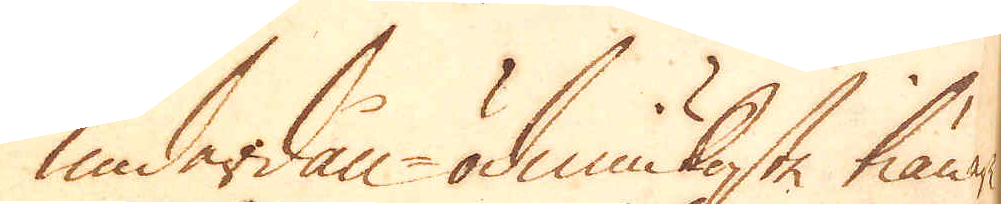underdån-ödmiukaste tiänare
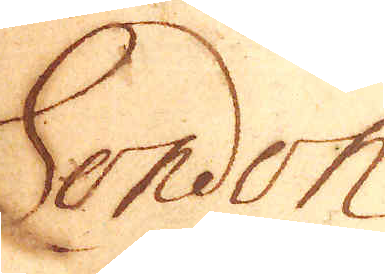London
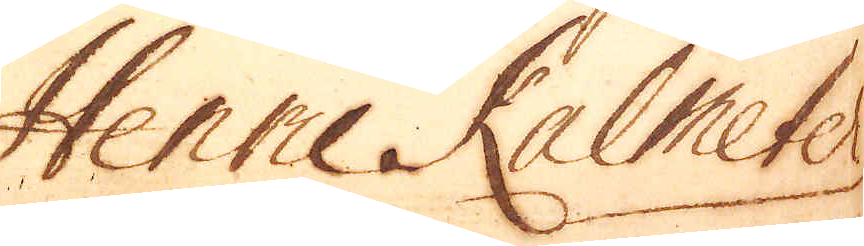Henric Kalmeter
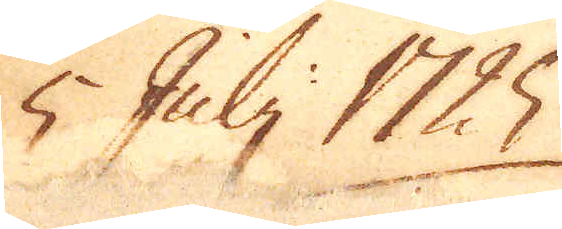5 Julj 1725.
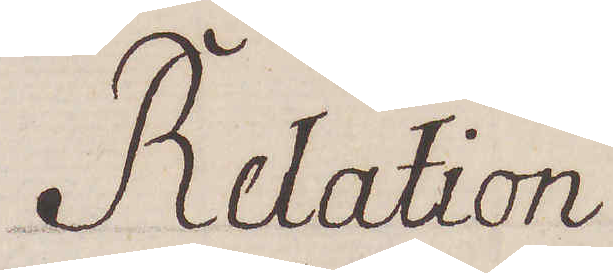Relation
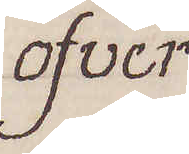öfver
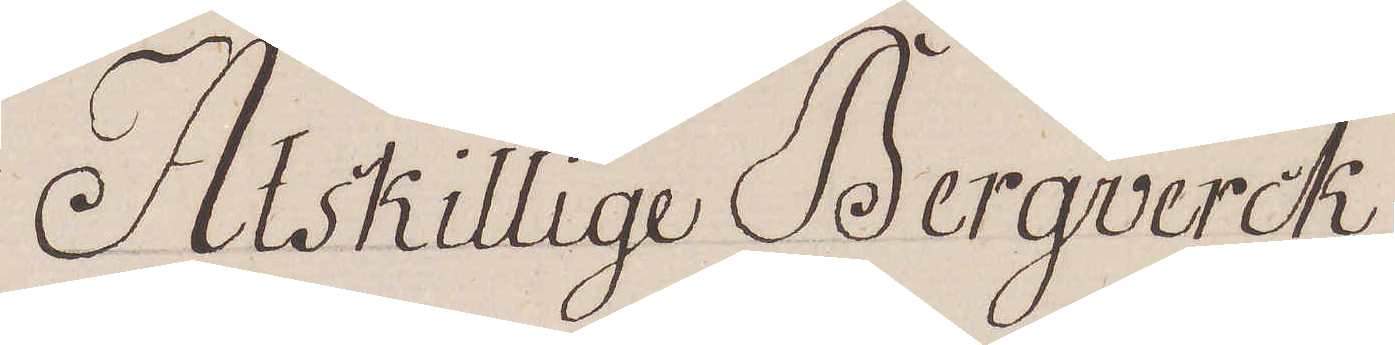Åtskillige Bergverck
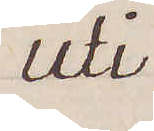uti
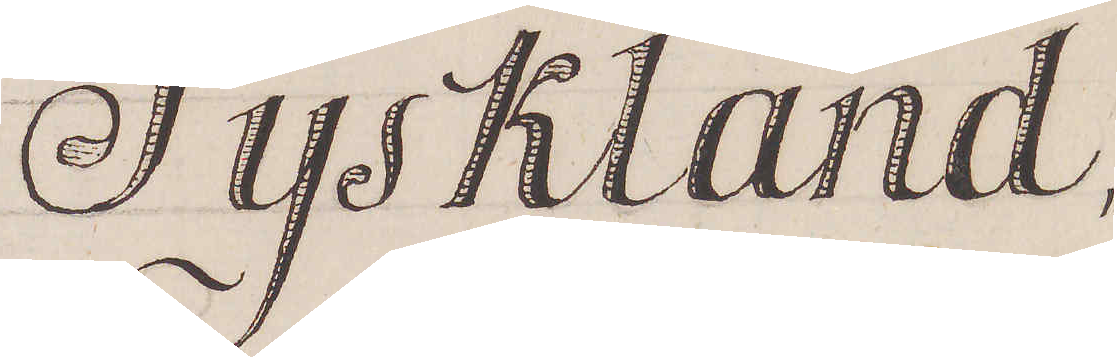Tyskland
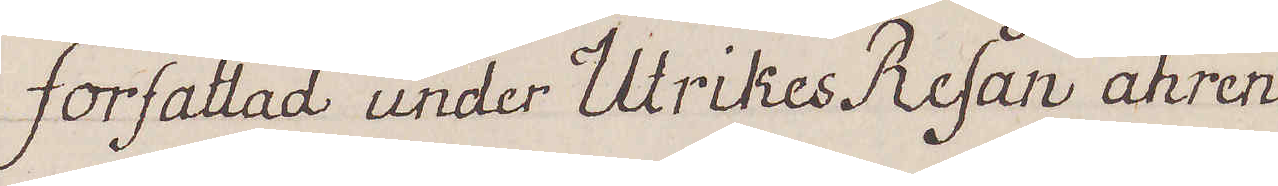författad under Utrikes Resan åhren
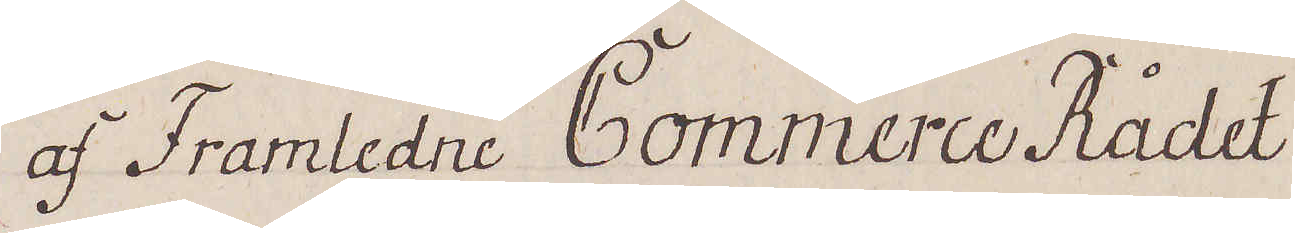af Framledne Commerce Rådet
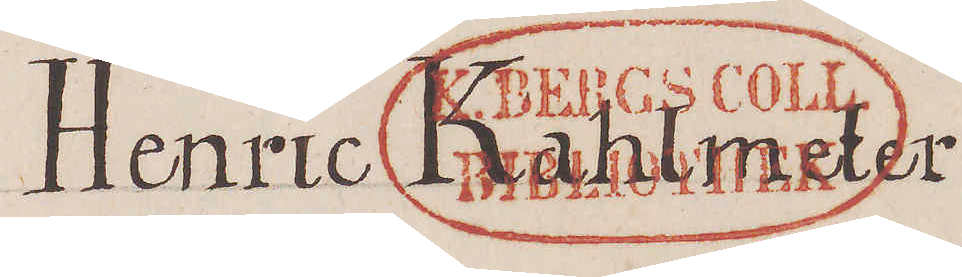Henric Kahlmeter
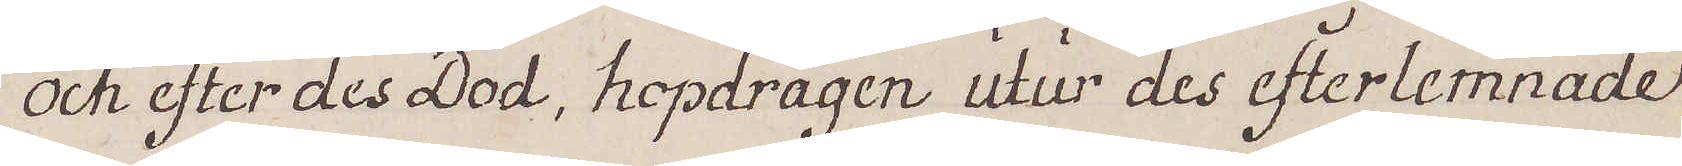och efter dess Död, hopdragen utur dess efterlämnade
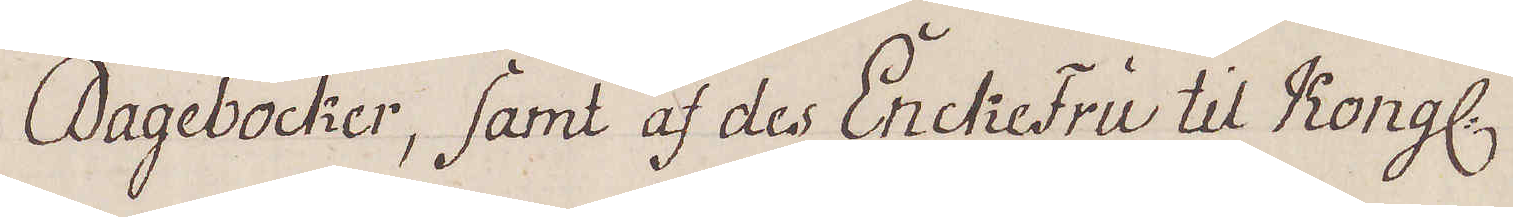Dagböcker, samt af des EnckeFru til Kongl.
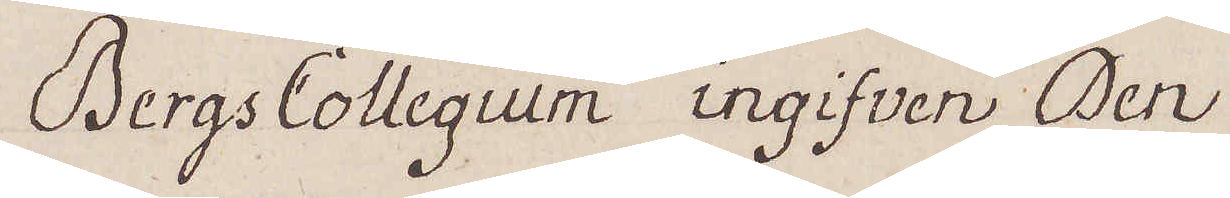BergsCollegium ingifven Den
